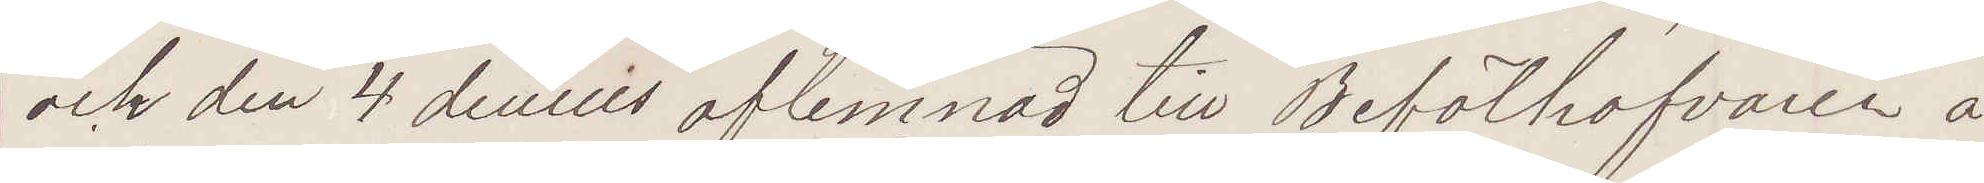och den 4 dennes aflemnad till Befälhafvaren å
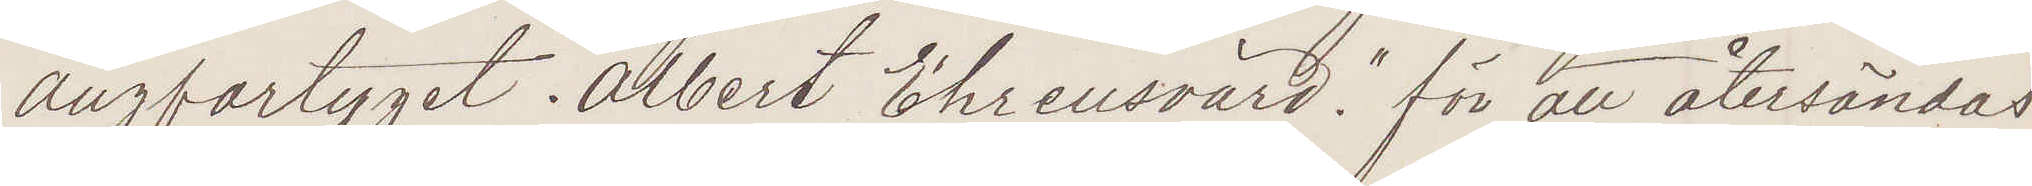ångfartyget "Albert Ehrensvärd" för att återsändas
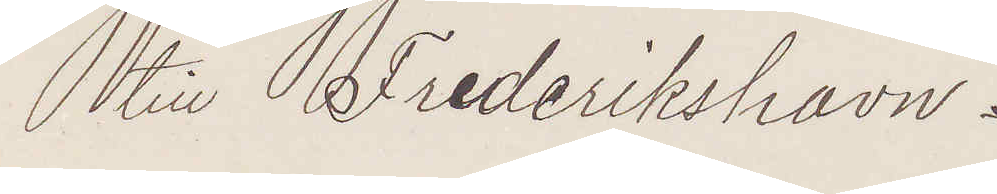till Frederikshavn.
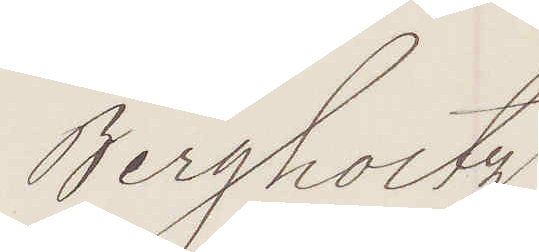Bergholtz
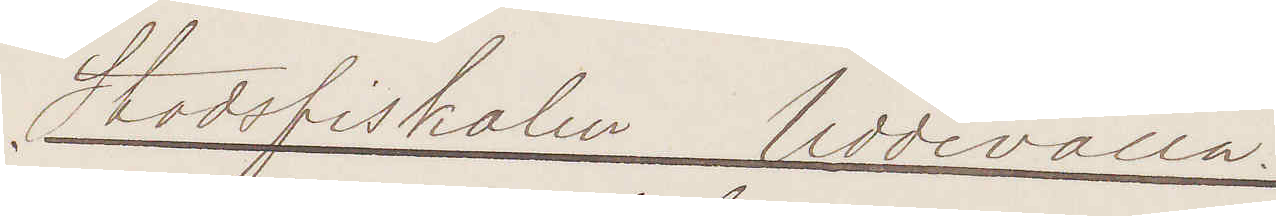Stadsfiskalen Uddevalla.
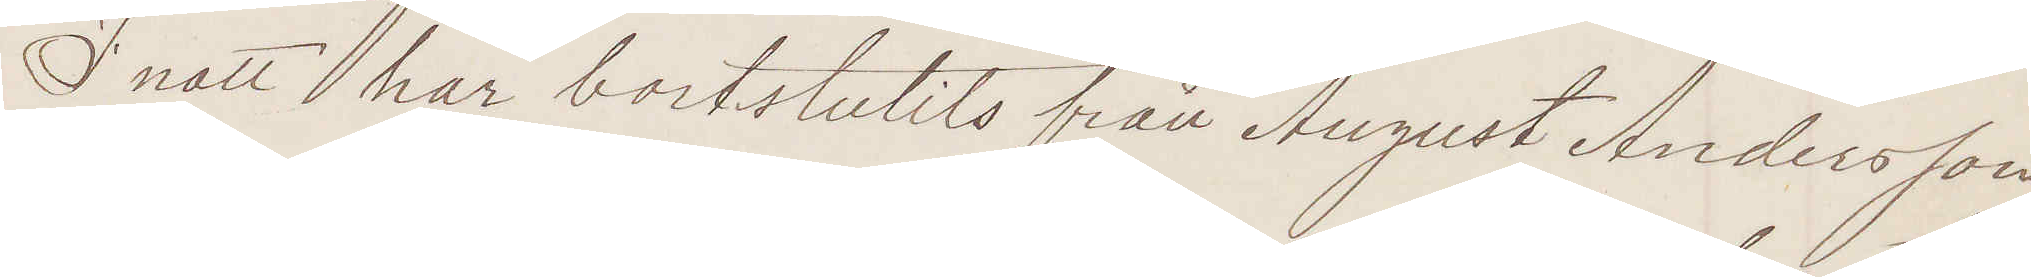I natt har bortstulits från August Andersson
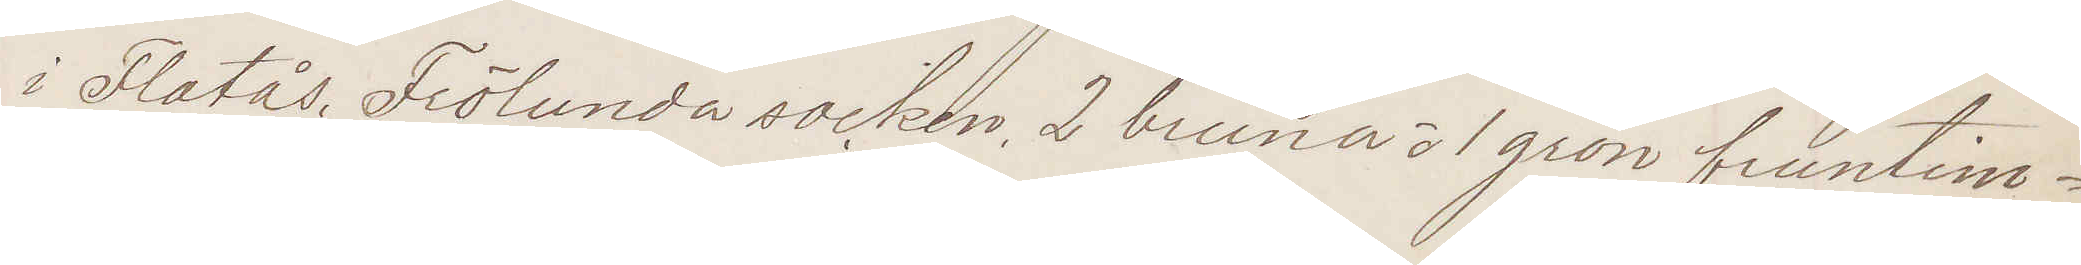i Flatås, Frölunda socken, 2 bruna o 1 grön fruntim¬
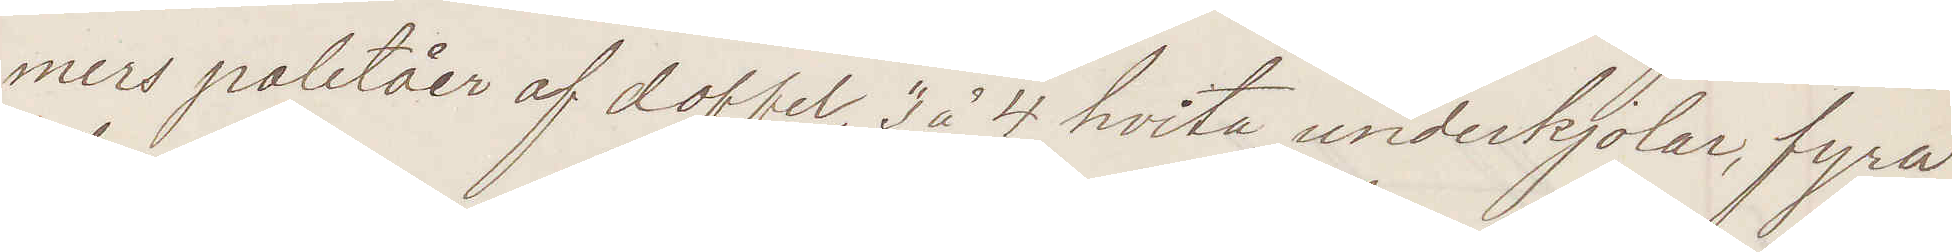mers paletåer af doffel, 3 à 4 hvita underkjolar, fyra
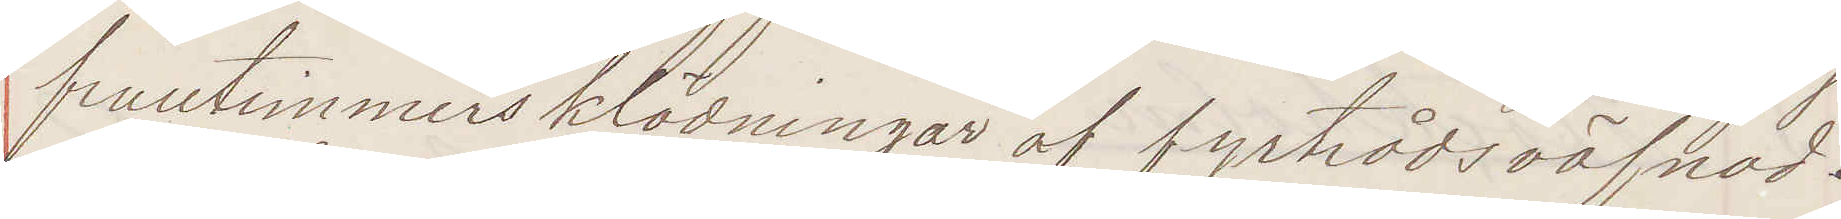fruntimmersklädningar af fyrtrådsväfnad.
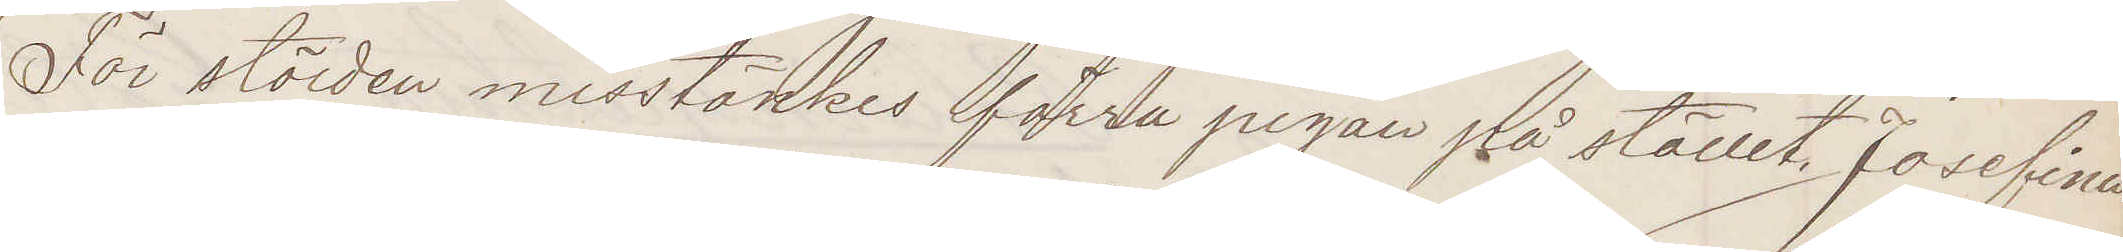För stölden misstänkes förra pigan på stället, Josefina
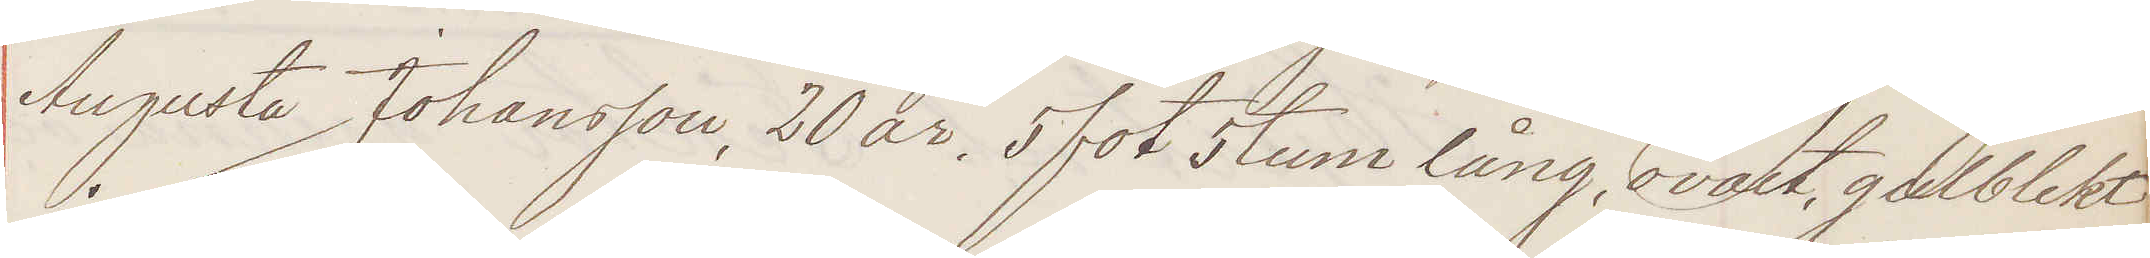Augusta Johansson, 20 år, 5 fot 5 tum lång, ovalt, gulblekt
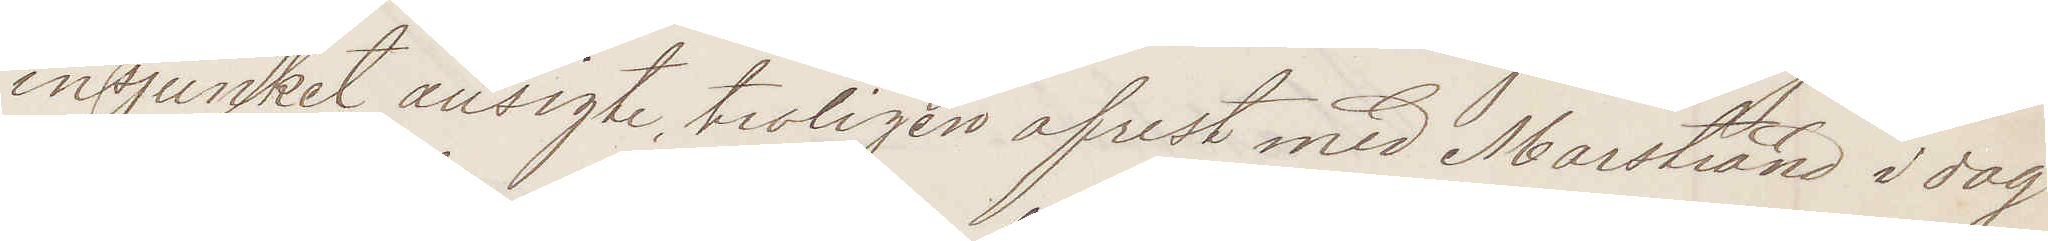insjunket ansigte, troligen afrest med Marstrand i dag
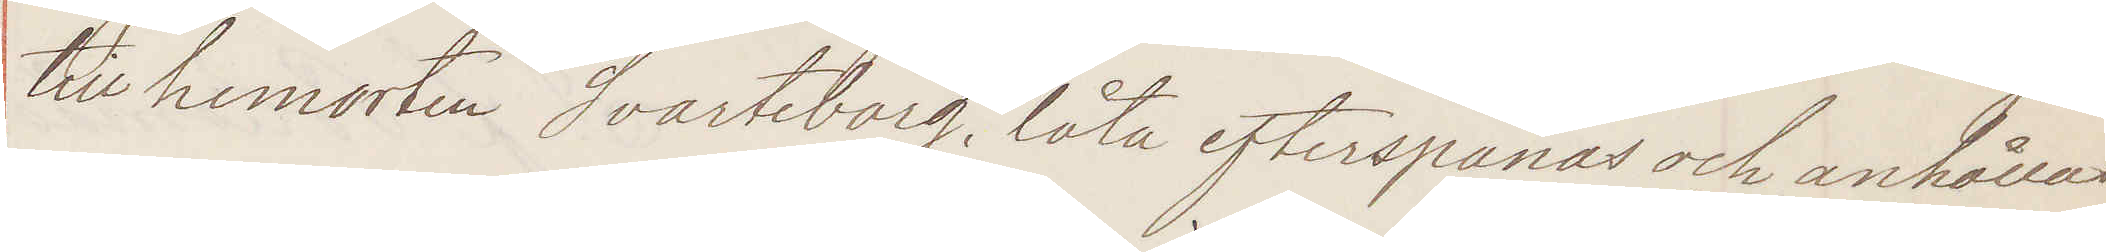till hemorten Svarteborg, låta efterspanas och anhållas
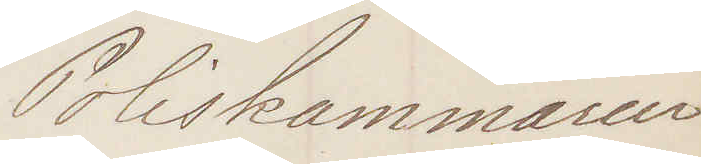Poliskammaren
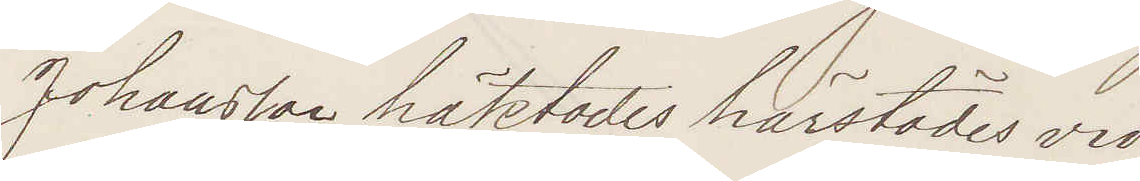Johansson häktades härstädes vid
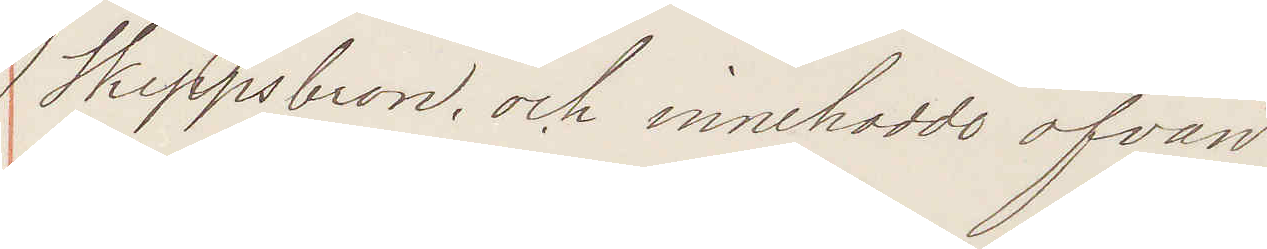Skeppsbron och innehade ofvan
